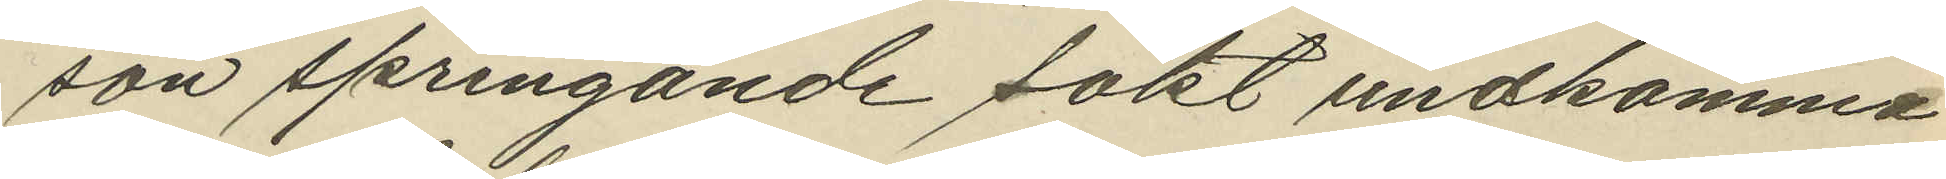son springande sökt undkomma
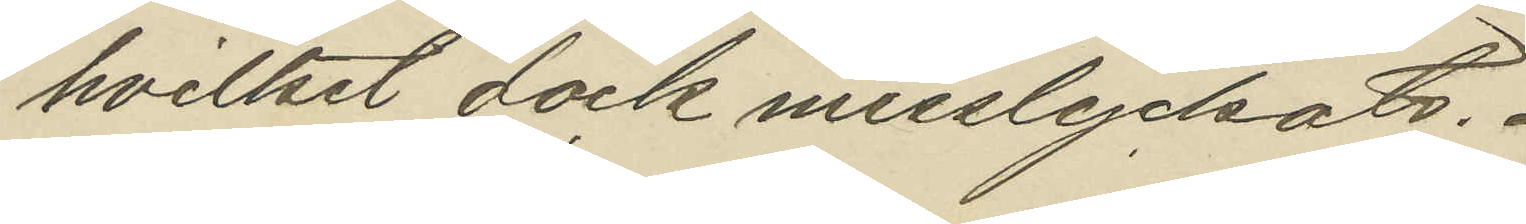hvilket dock misslyckats.
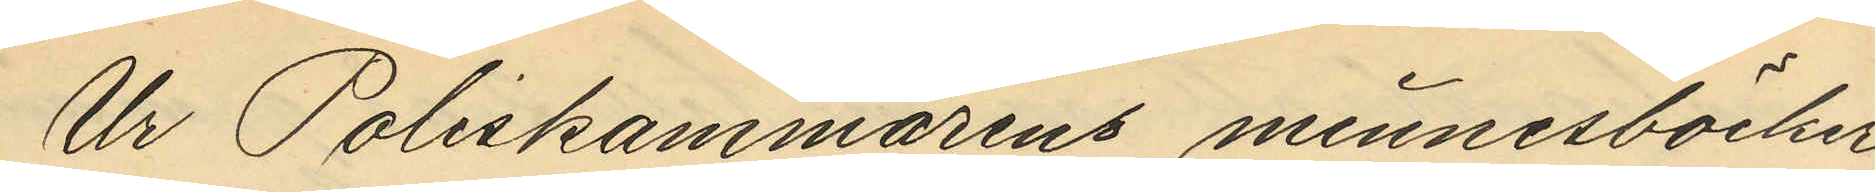Ur Poliskammarens minnesböcker
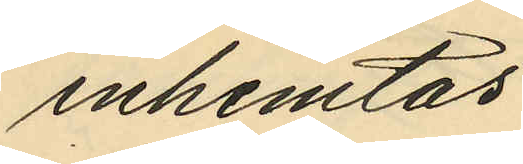inhemtas:
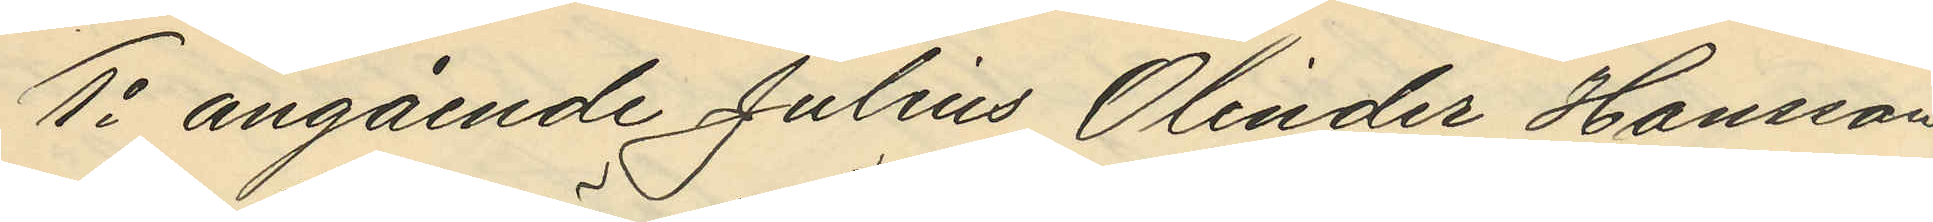1o angående Julius Olinder Hansson
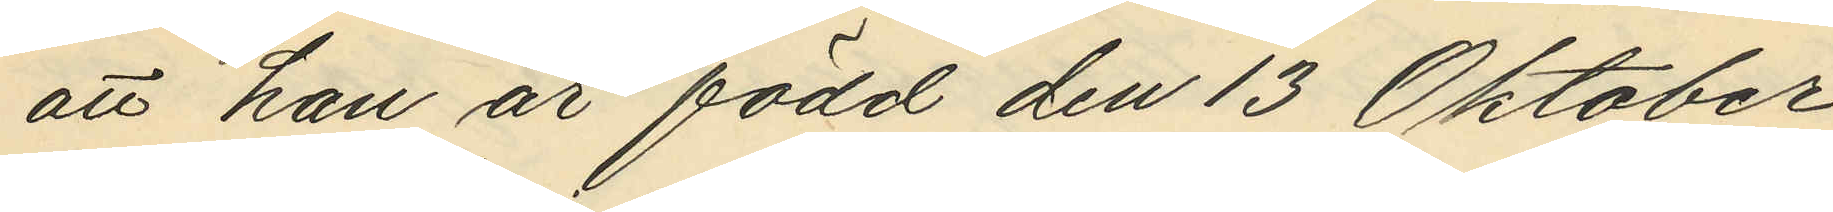att han är född den 13 Oktober
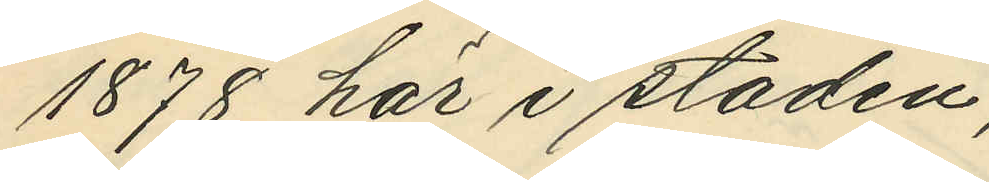1878 här i staden;
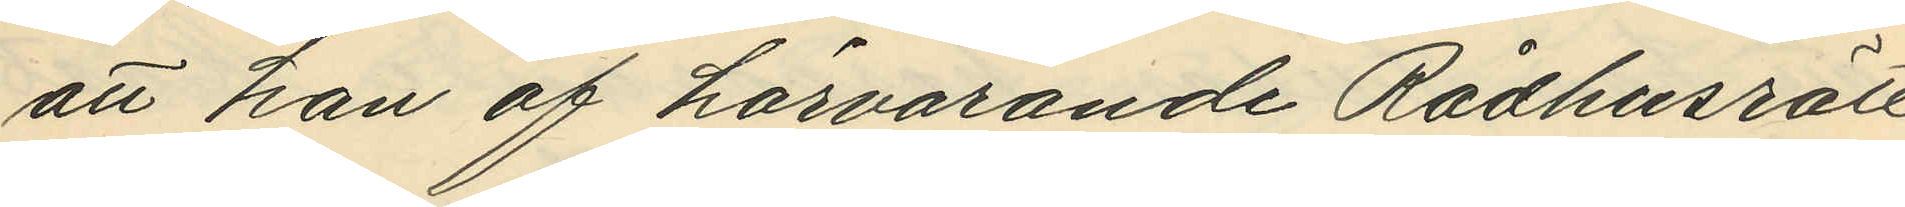att han af härvarande Rådhusrätt
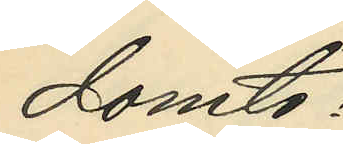dömts:
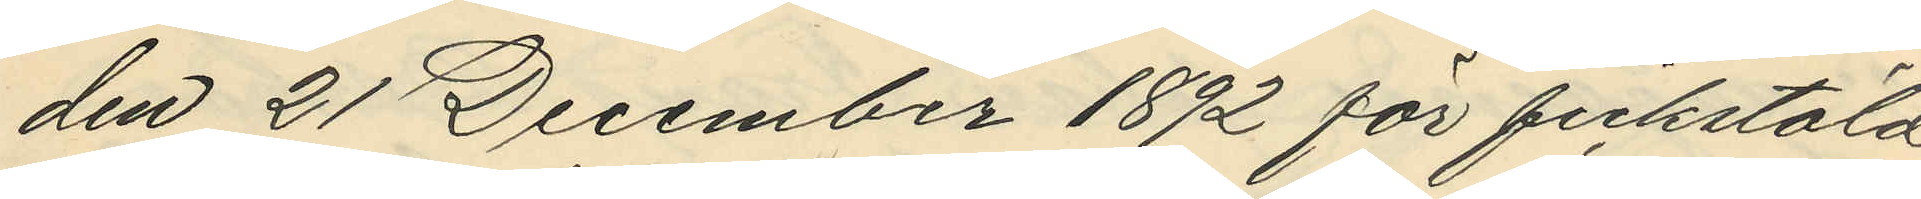den 21 December 1892 för fickstöld
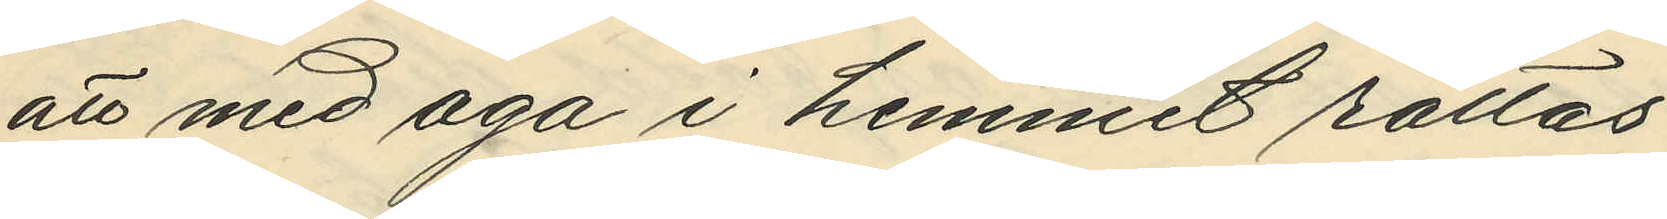att med aga i hemmet rättas;
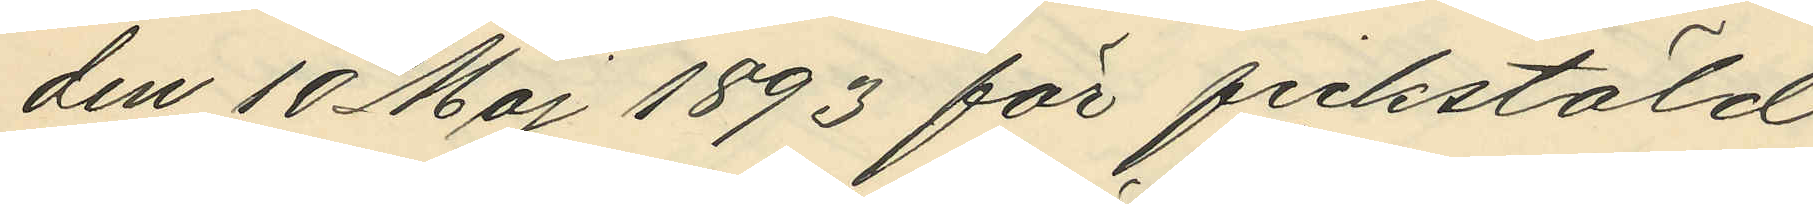den 10 Maj 1893 för fickstöld
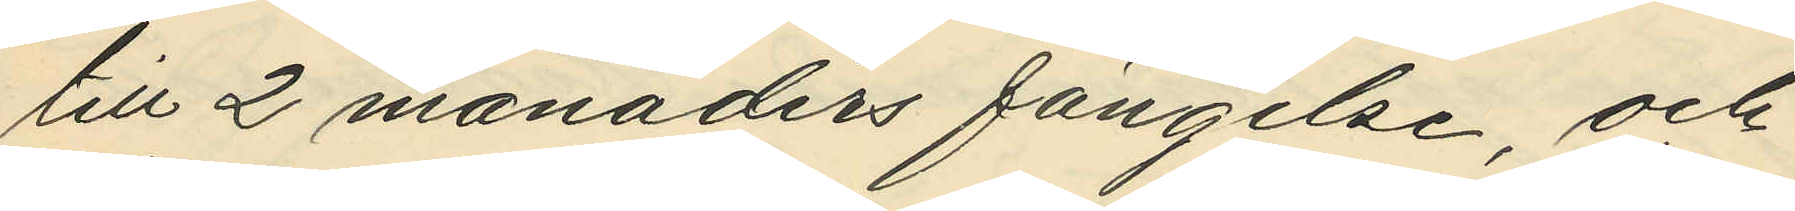till 2 månaders fängelse, och
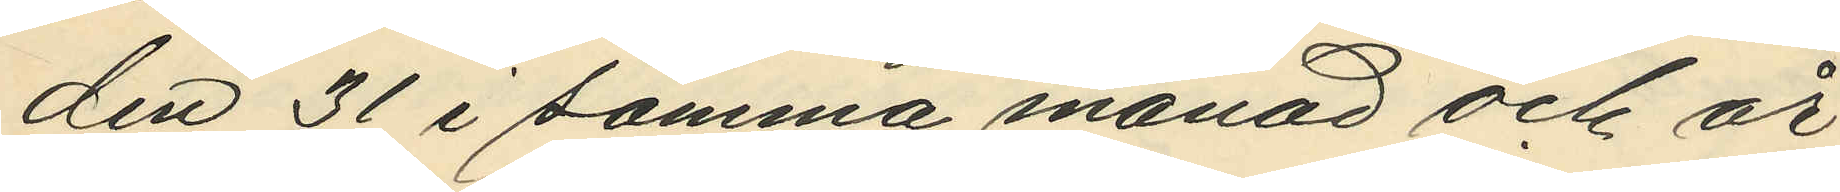den 31 i samma månad och år
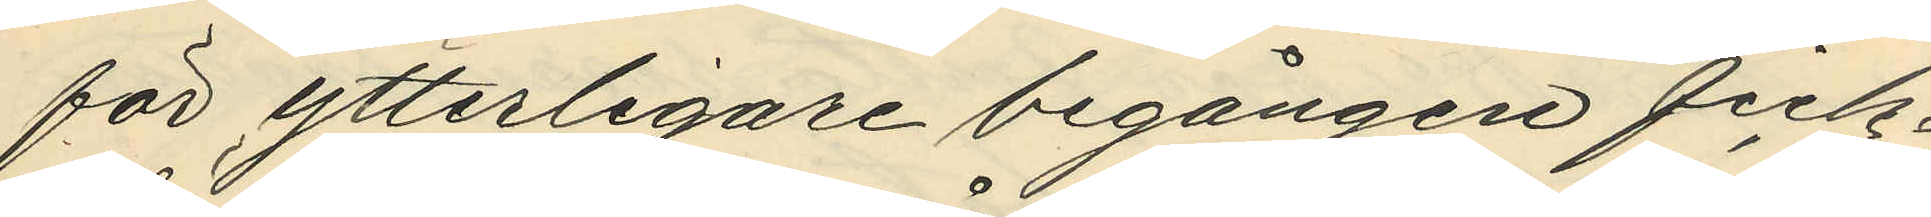för ytterligare begången fick¬
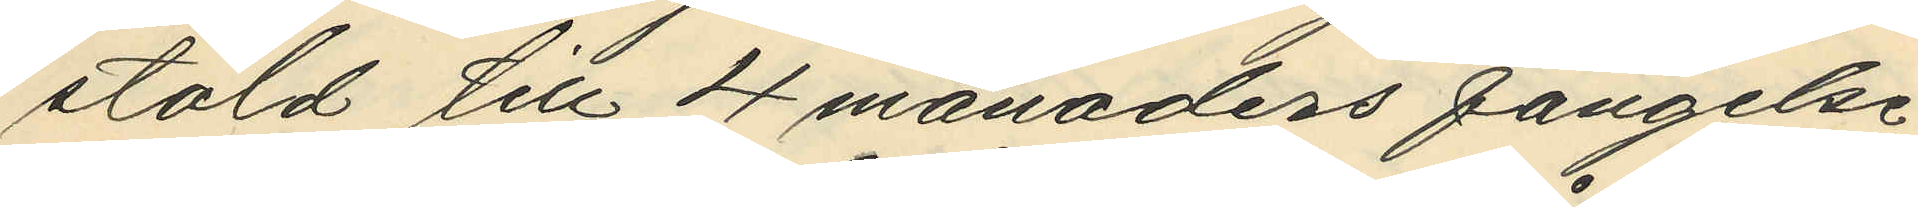stöld till 4 månaders fängelse;
